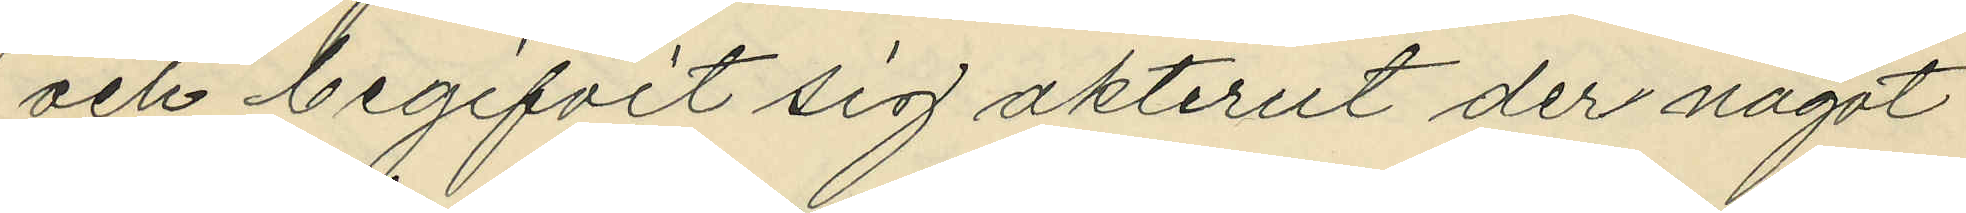och begifvit sig akterut der något
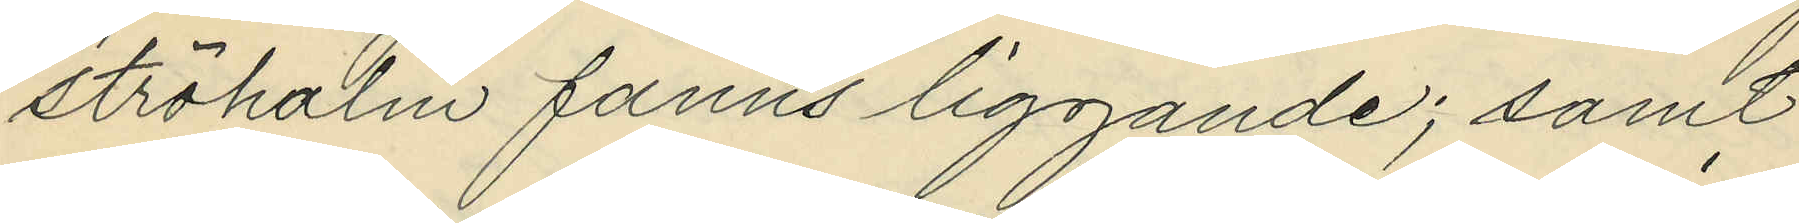ströhalm fanns liggande; samt
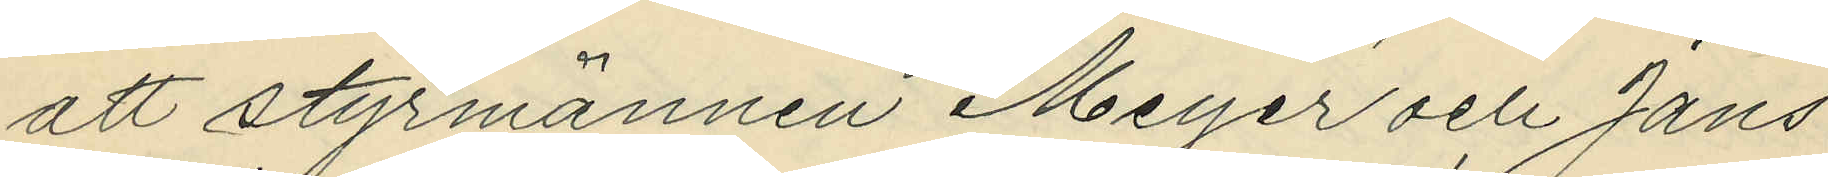att styrmännen Meyer och Jans
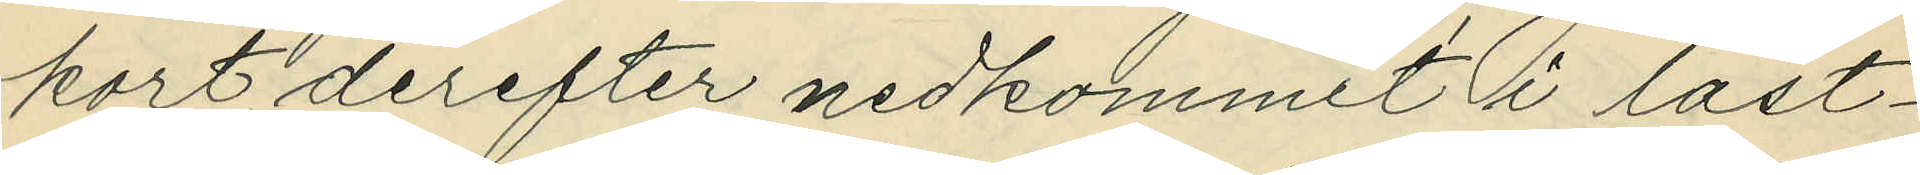kort derefter nedkommit i last¬
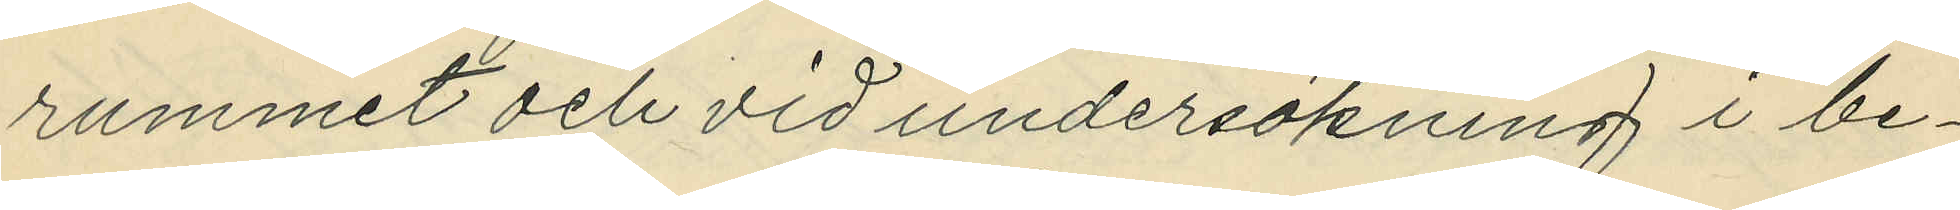rummet och vid undersökning i be¬
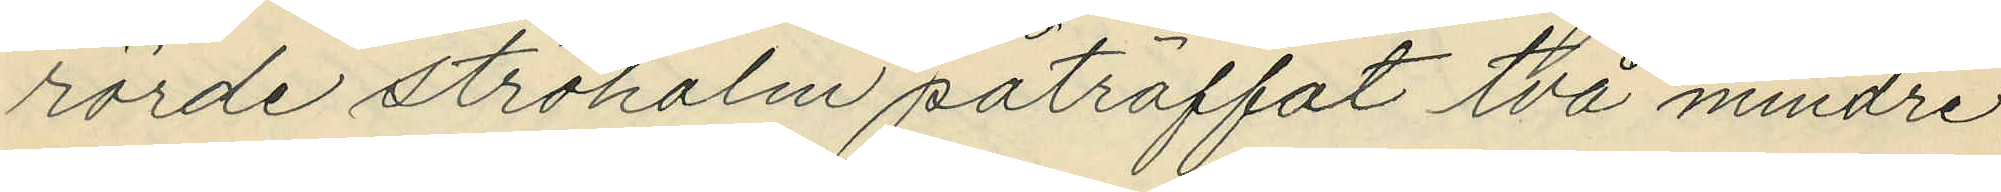rörde ströhalm påträffat två mindre
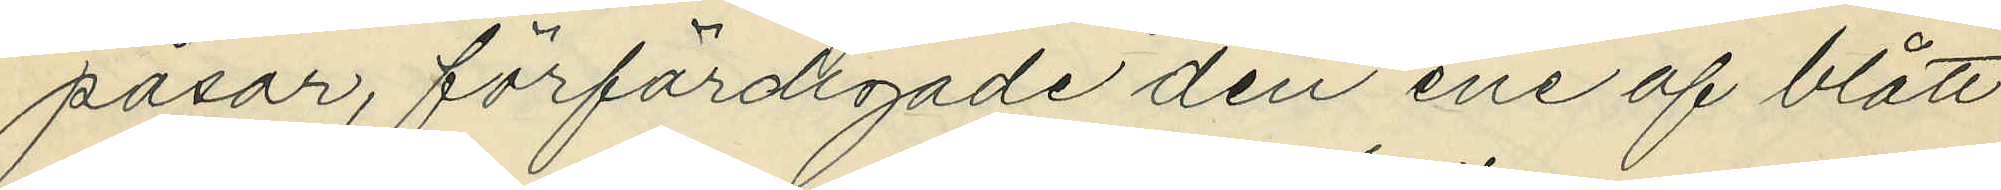påsar, förfärdigade den ene af blått
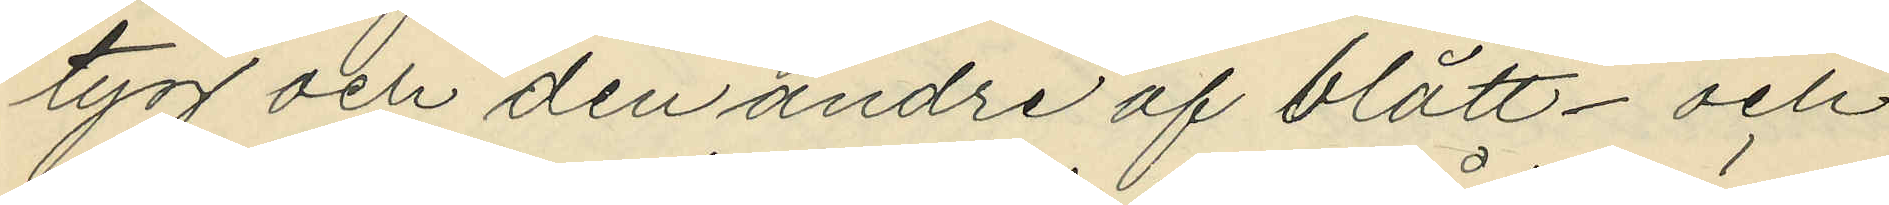tyg och den andre af blått- och
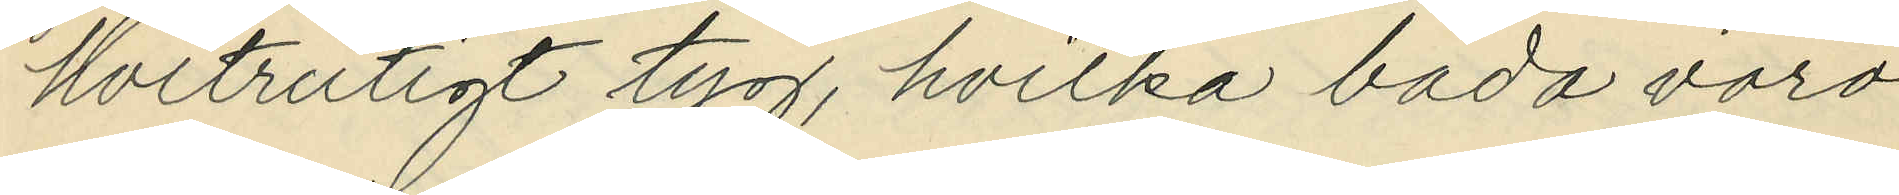hvitrutigt tyg, hvilka båda voro
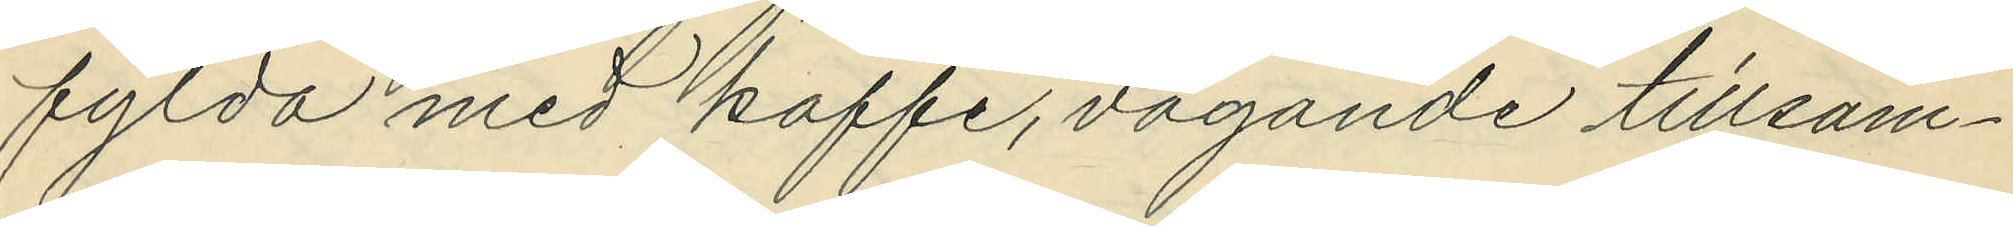fylda med kaffe, vägande tillsam¬
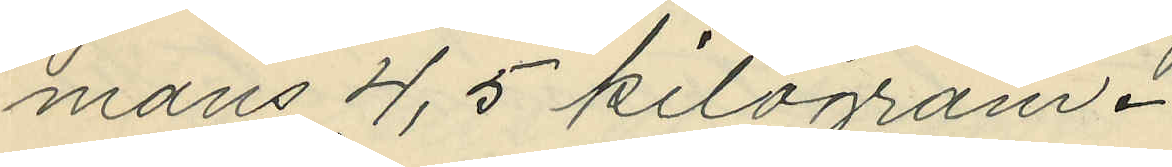mans 4,5 kilogram.
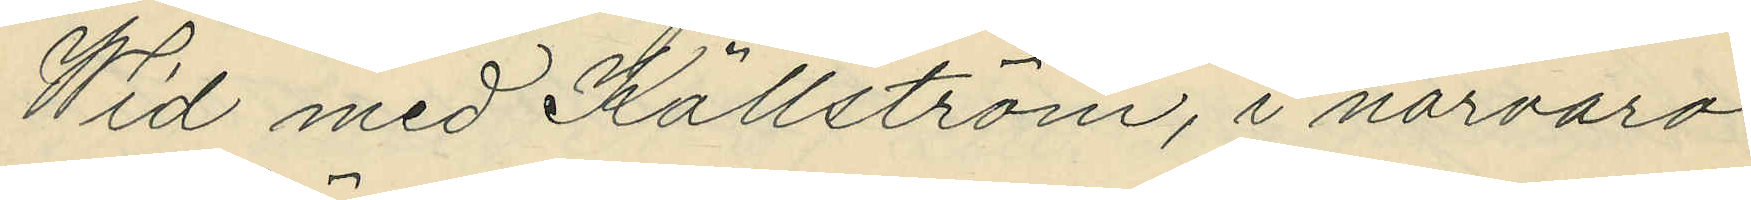Wid med Källström, i närvaro
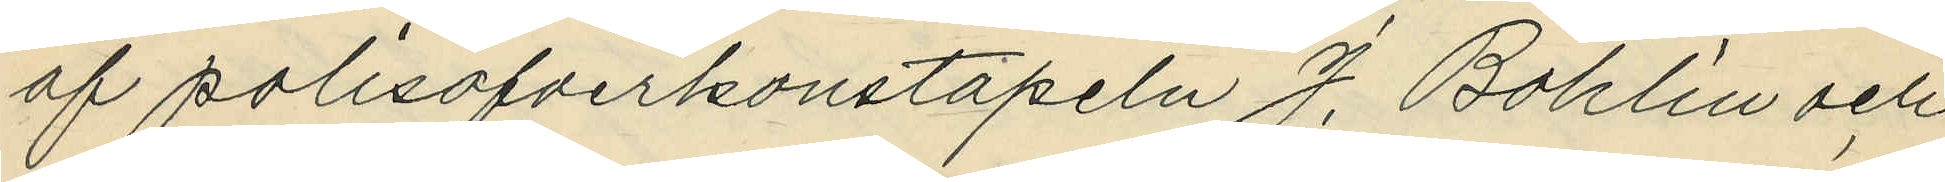af polisöfverkonstapeln J. Bohlin och
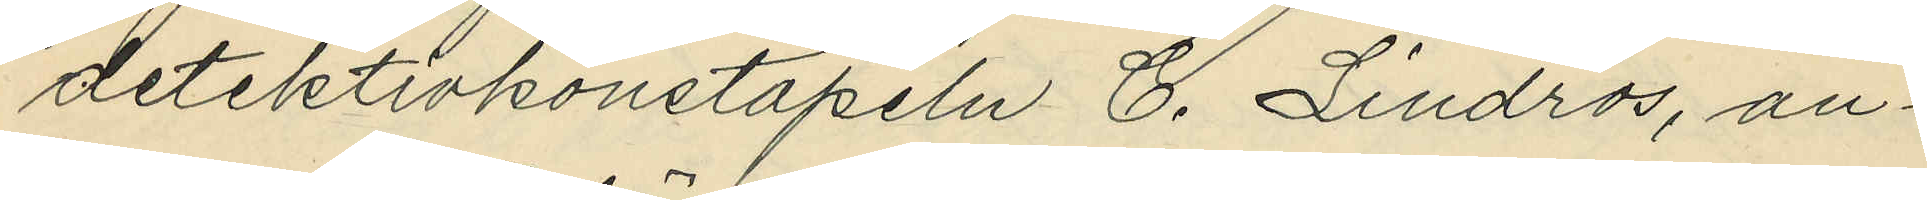detektivkonstapeln C. Lindros, an¬
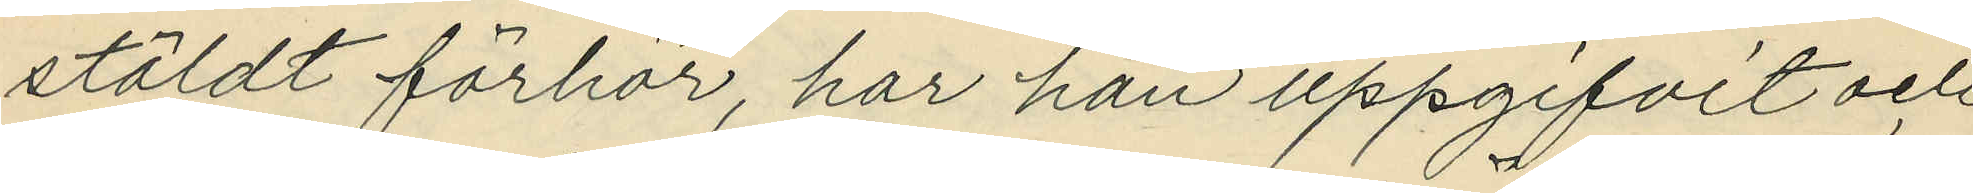stäldt förhör, har han uppgifvit och
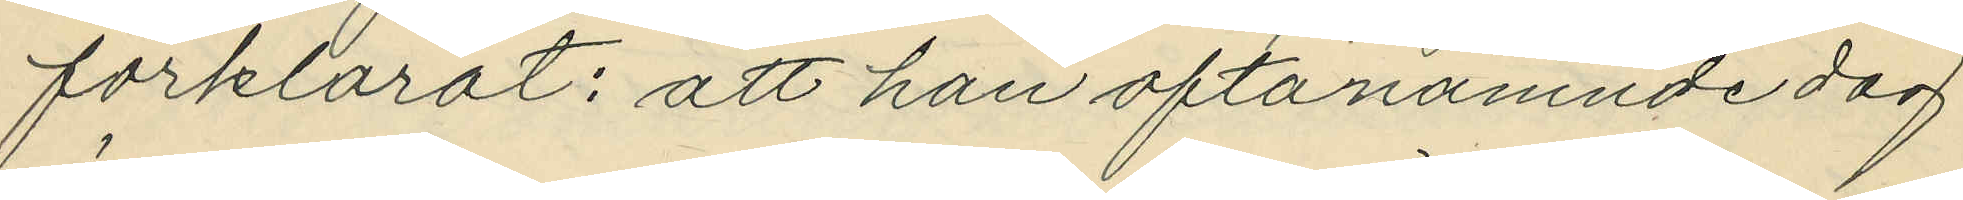förklarat: att han oftanämnde dag
